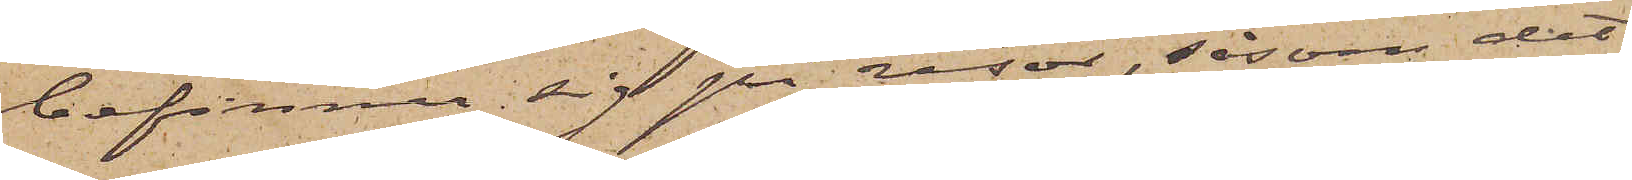befinner sig på resor, såsom det
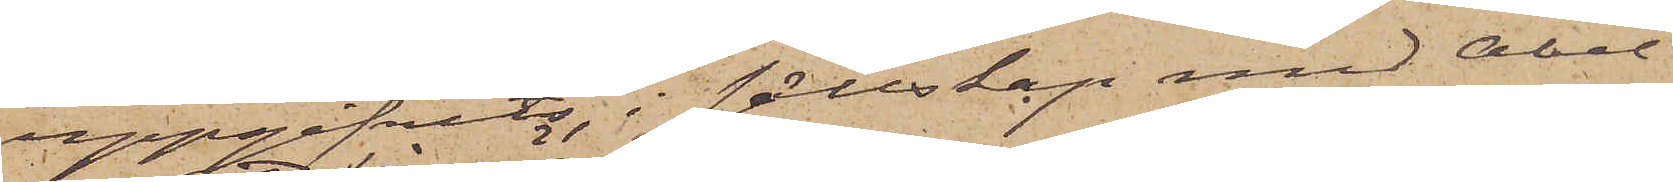uppgifvits, i sällskap med Abel,
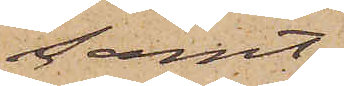samt
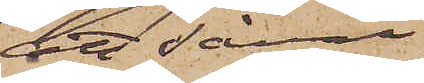att såväl
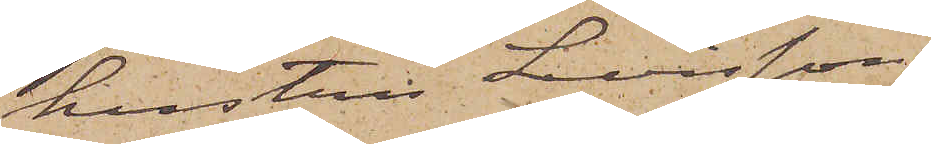hustru Levisson
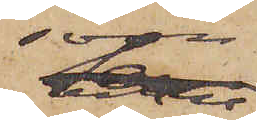som
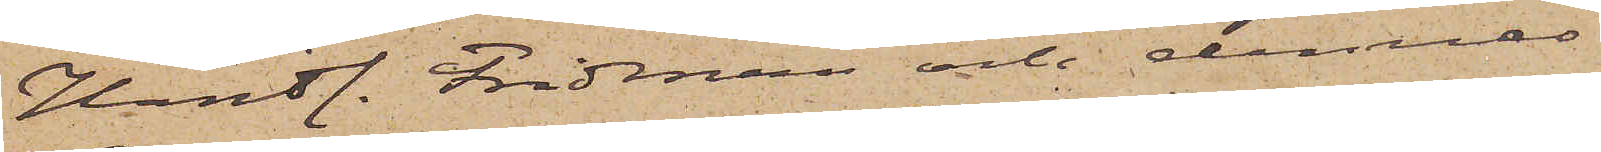Handl. Fridman och dennes
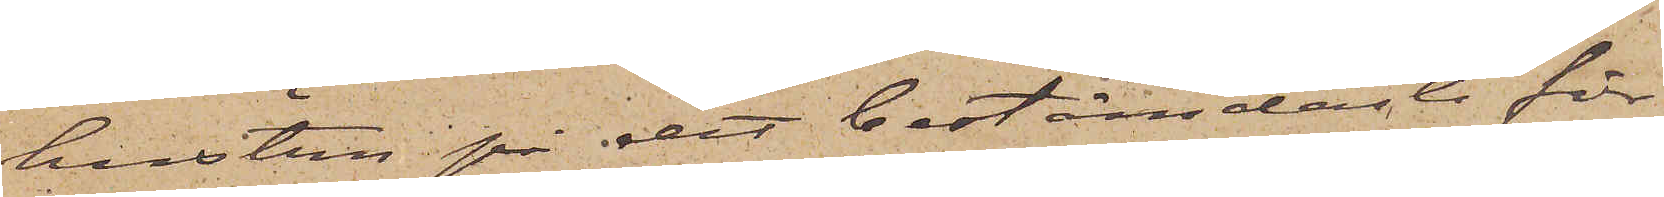hustru på det bestämdaste för¬
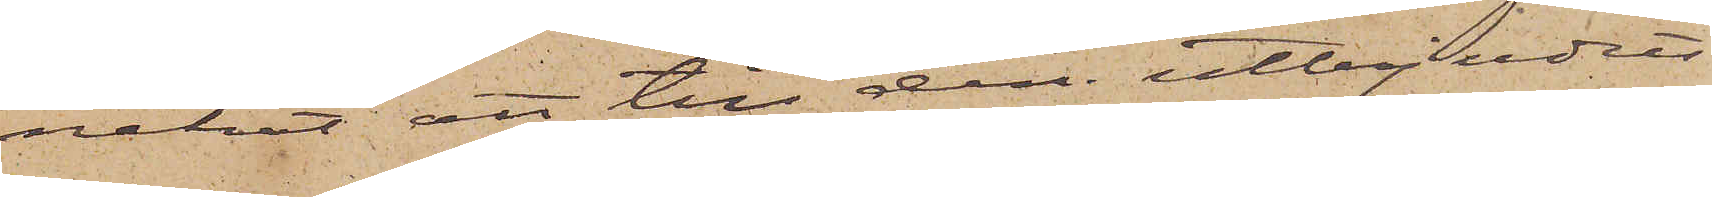nekat att till dem utbjudits
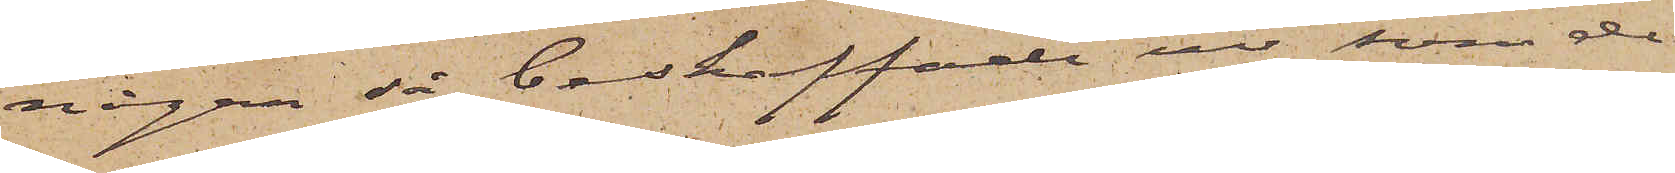några så beskaffade ur som de
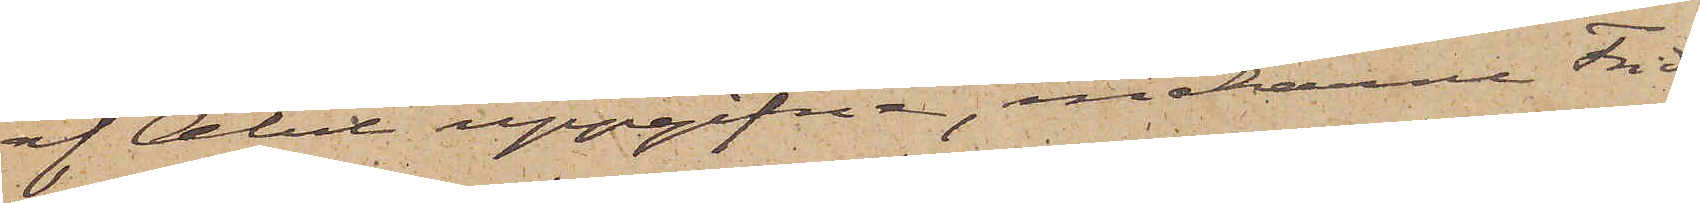af Abel uppgifna, makarne Frid¬
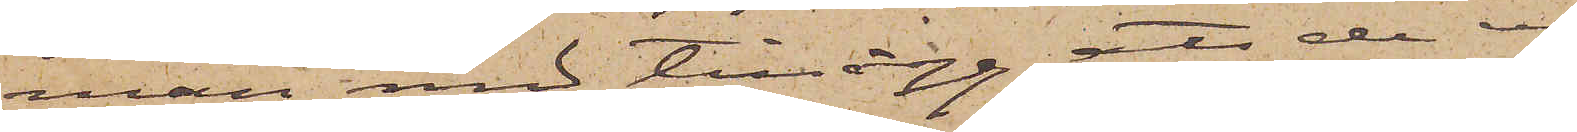man med tillägg, att de ej
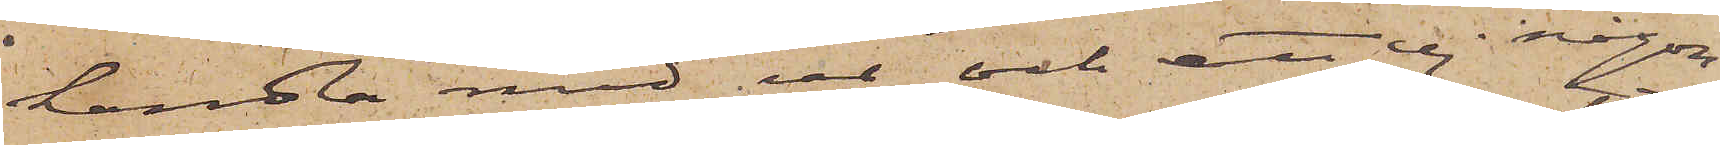handlar med ur och att ej någon
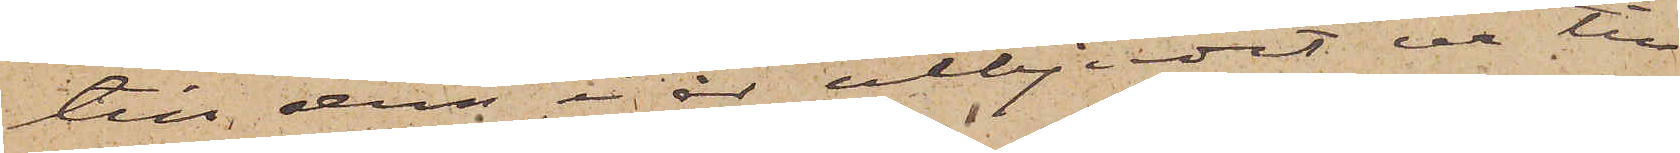till dem i år utbjudit ur till
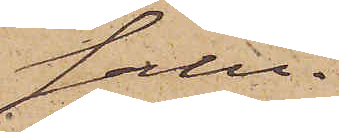salu.
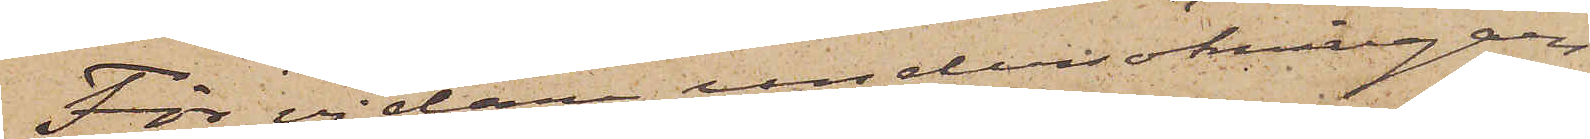För vidare undersökningars
